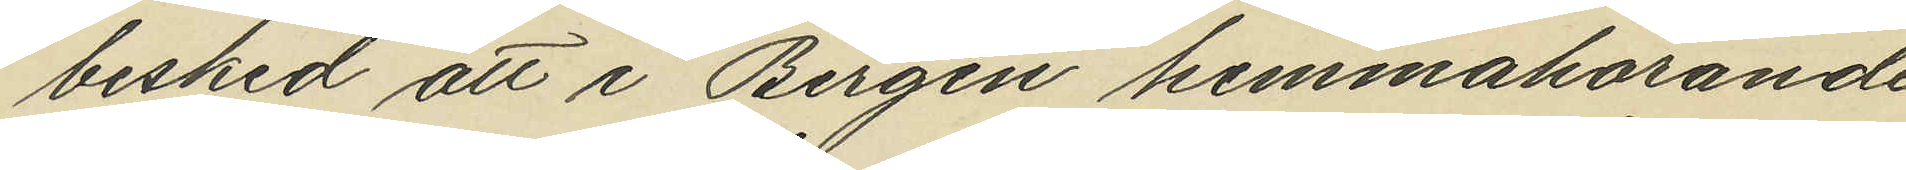besked att i Bergen hemmahörande
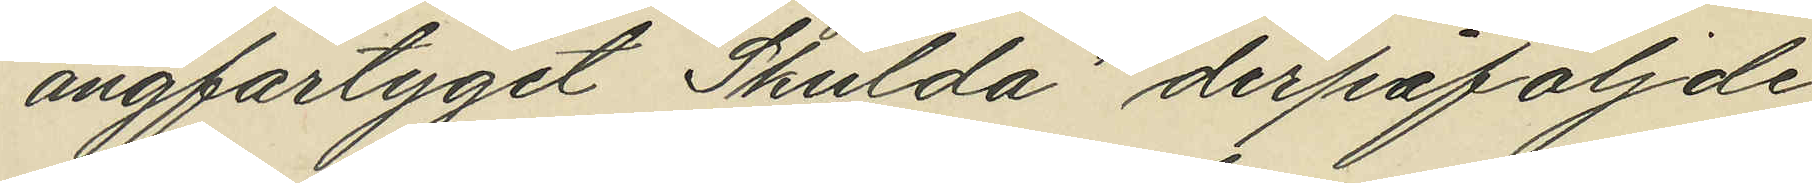ångförtyget "Skulda" derpåföljde
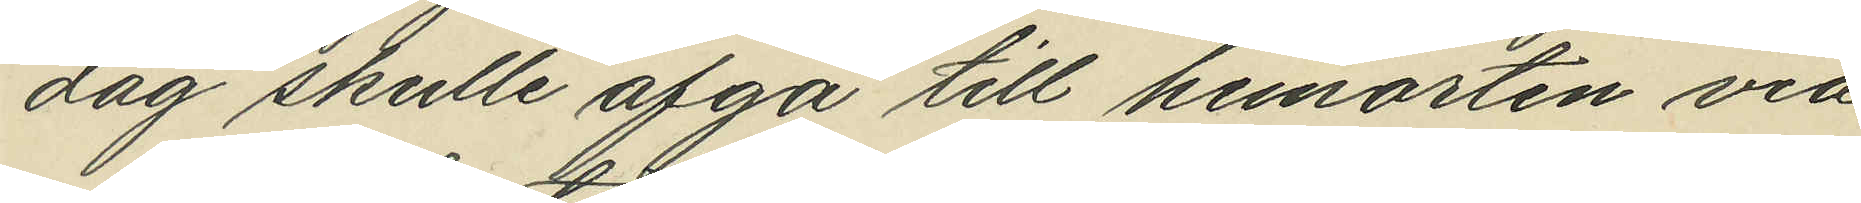dag skulle afgå till hemorten via
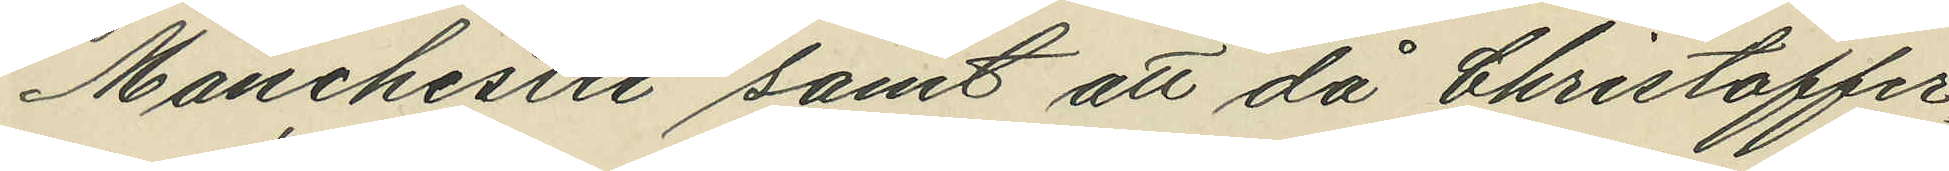Manchester samt att då Christoffer¬
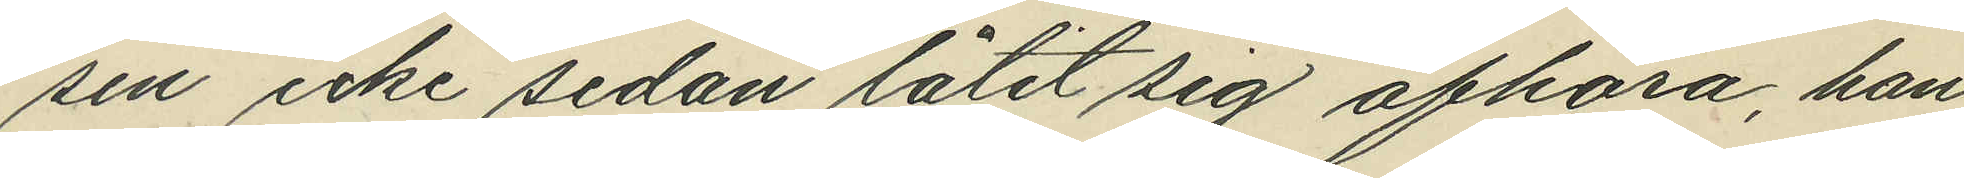sen icke sedan låtit sig afhöra, han
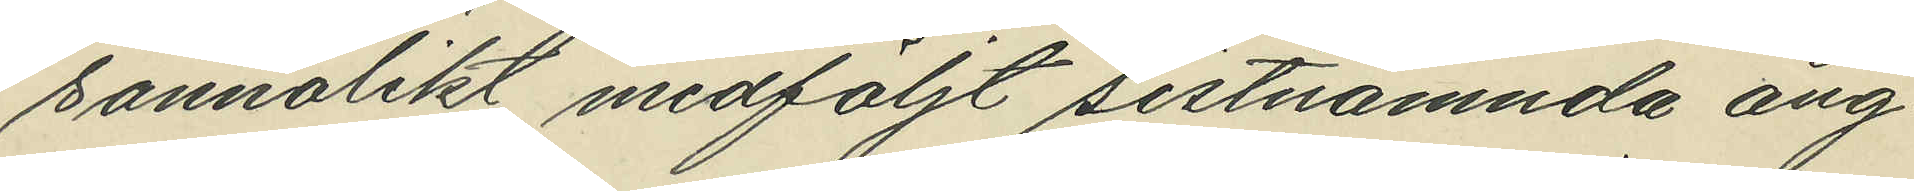sannolikt medföljt sistnämnda ång¬
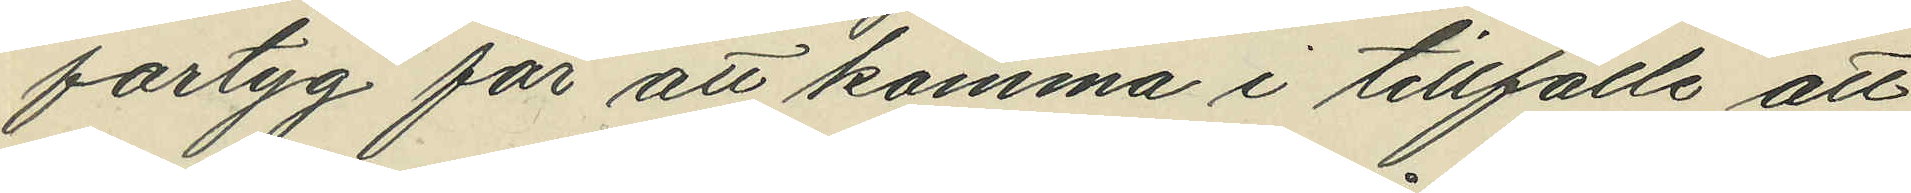fartyg för att komma i tillfälle att
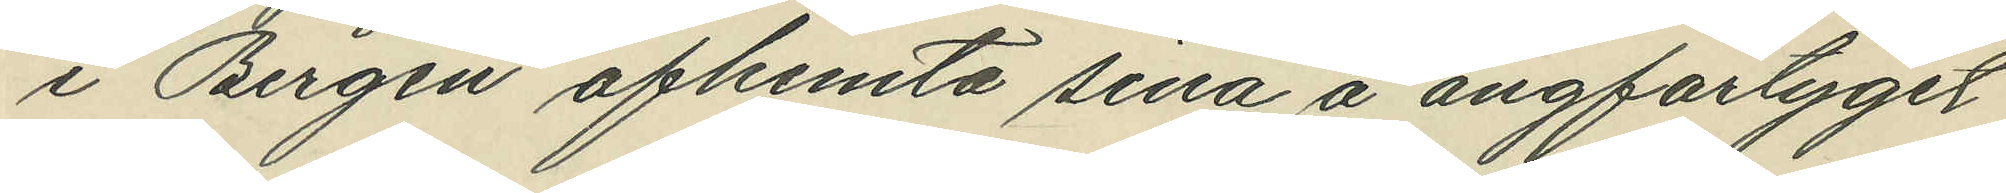i Bergen afhemta sina å ångfartyget
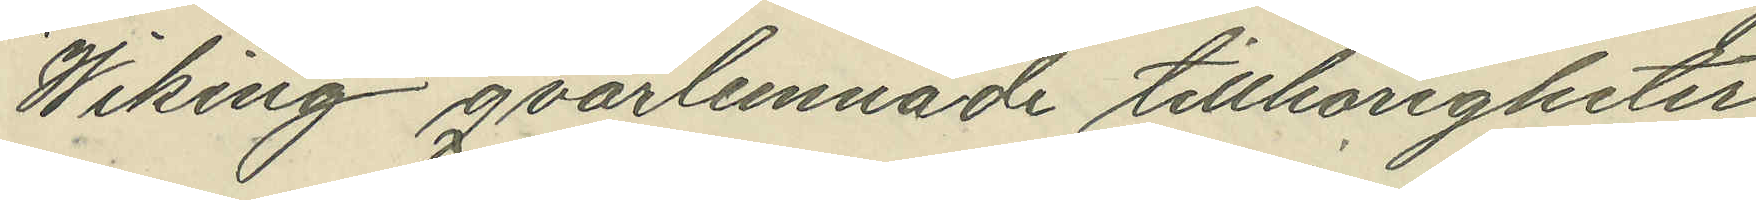"Wiking" qvarlemnade tillhörigheter.
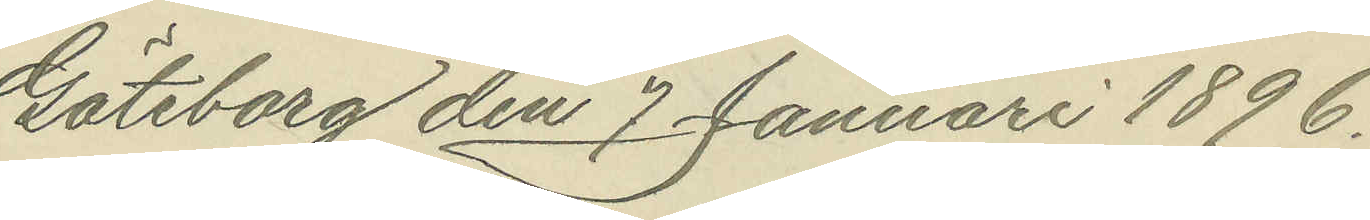Göteborg den 7 Januari 1896.
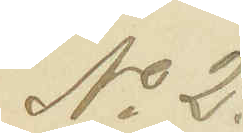No 2.
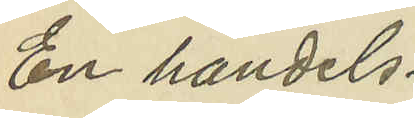En handels¬
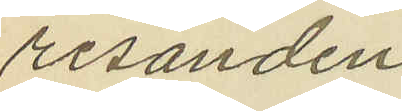resanden
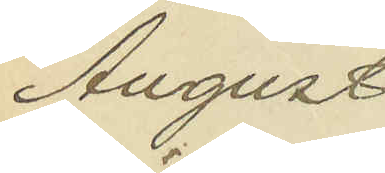August
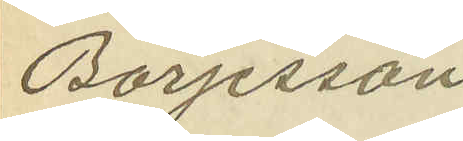Börjesson
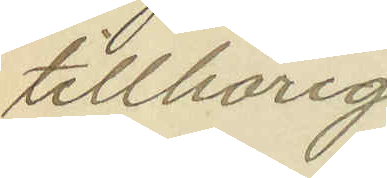tillhörig
